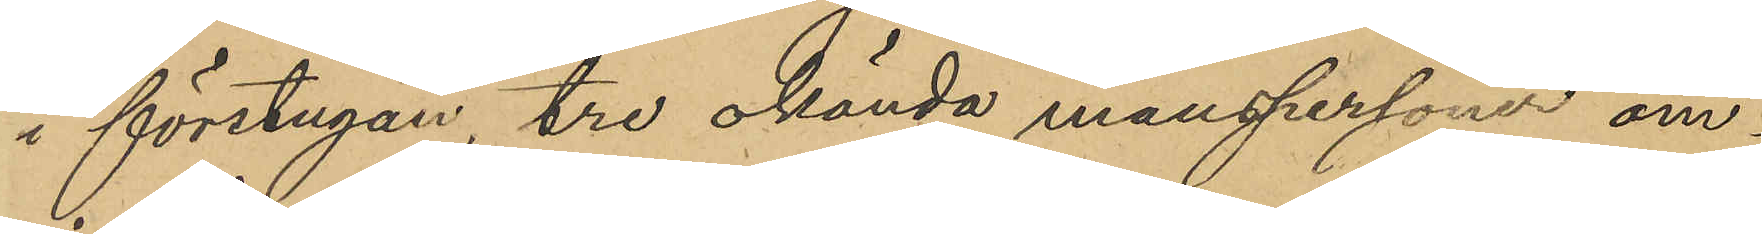i förstugan, tre okända manspersoner om¬
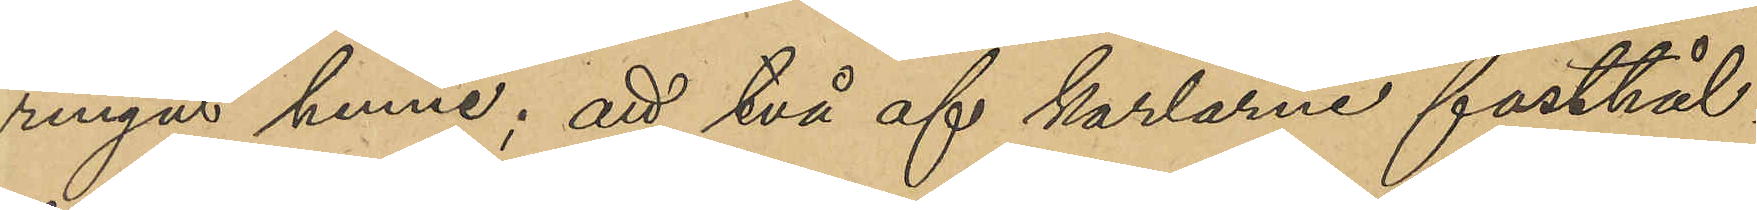ringat henne; att två af karlarna fasthål¬
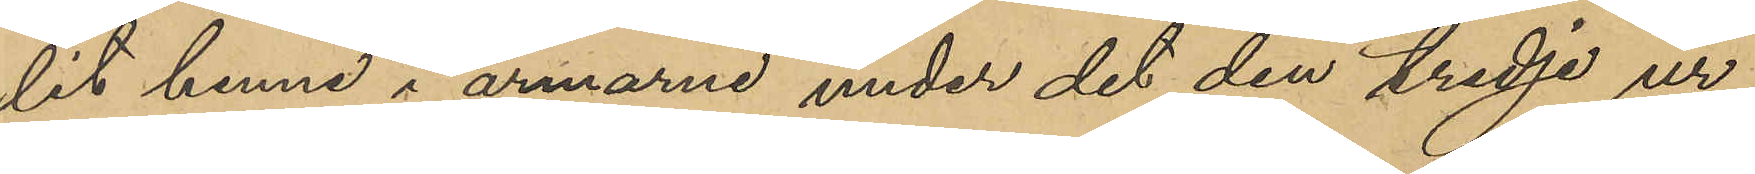lit henne i armarna under det den tredje ur
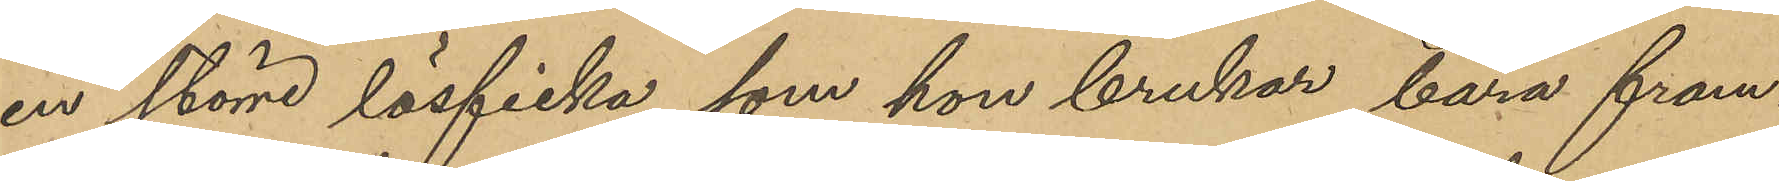en större lösficka, som hon brukar bära fram¬
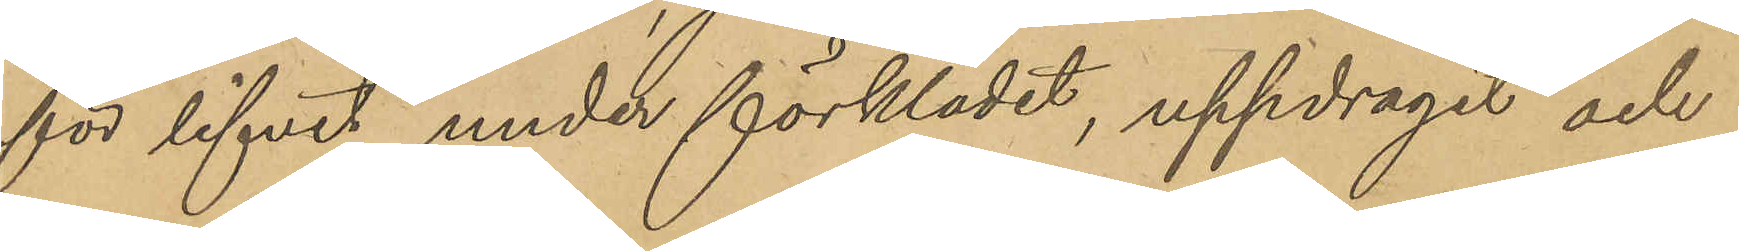för lifvet under förklädet, uppdragit och
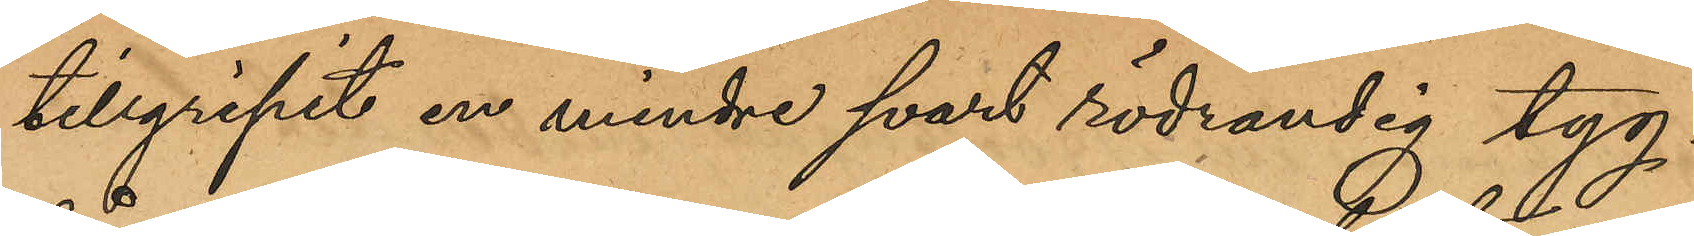tillgripit en mindre svart rödrandig tyg¬
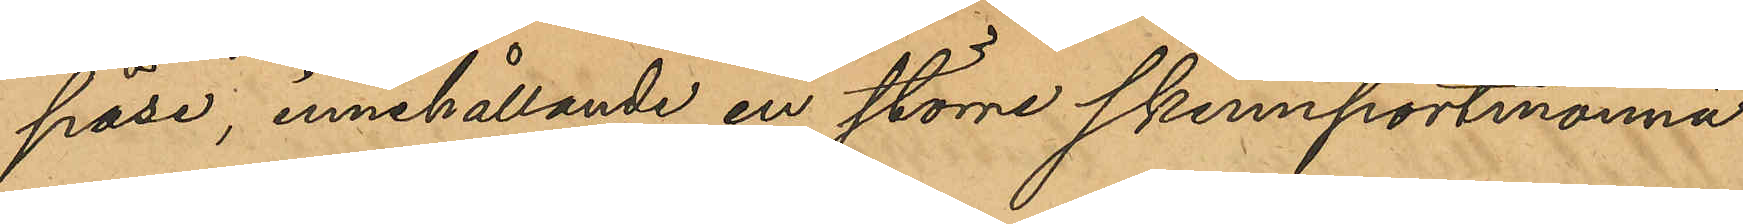påse, innehållande en större skinnportmonnä
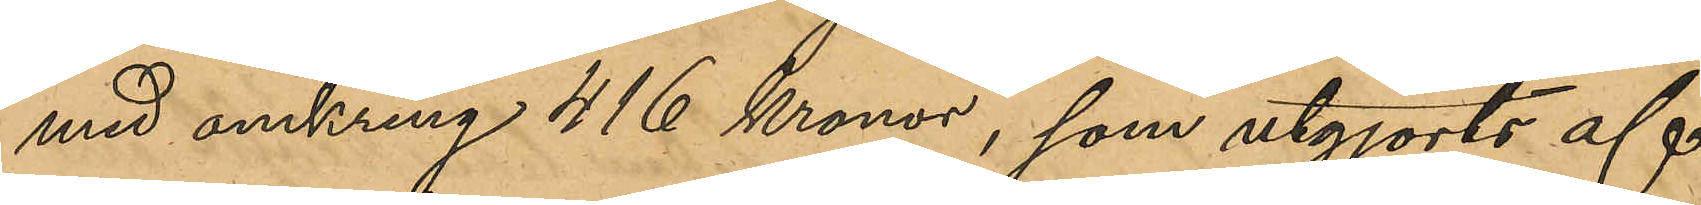med omkring 416 kronor, som utgjorts af
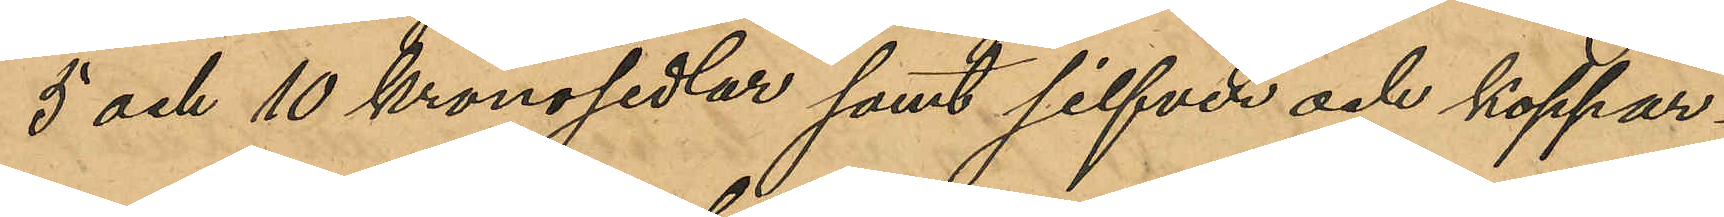5 och 10 kronosedlar samt silfver och koppar¬
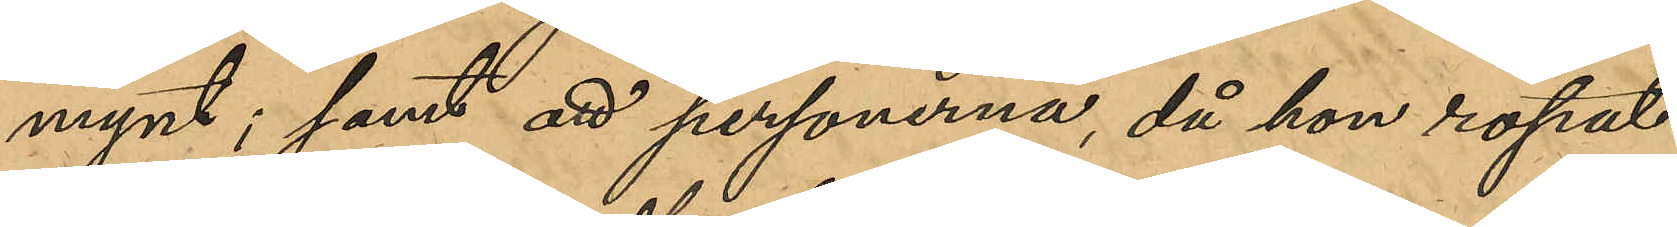mynt; samt att personerna, då hon ropat
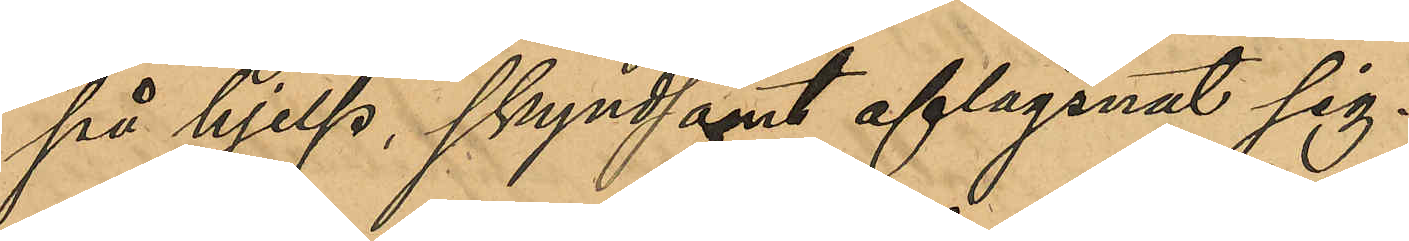på hjelp, skyndsamt aflägsnat sig.
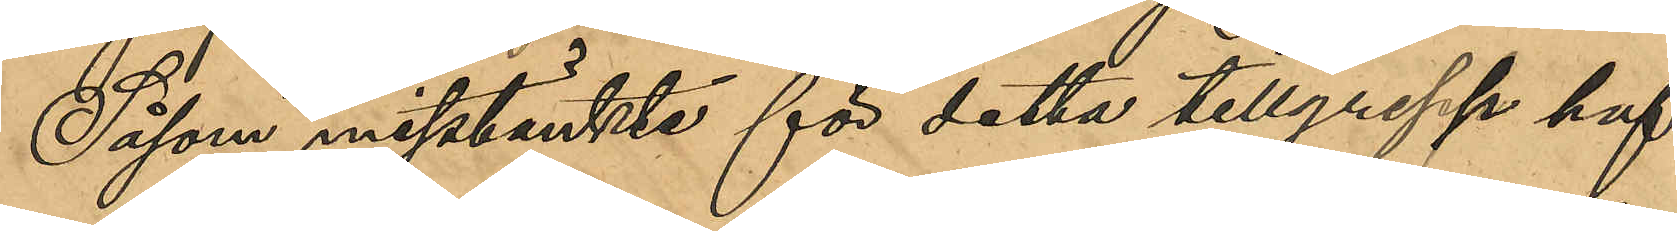Såsom misstänkta för detta tillgrepp haf¬
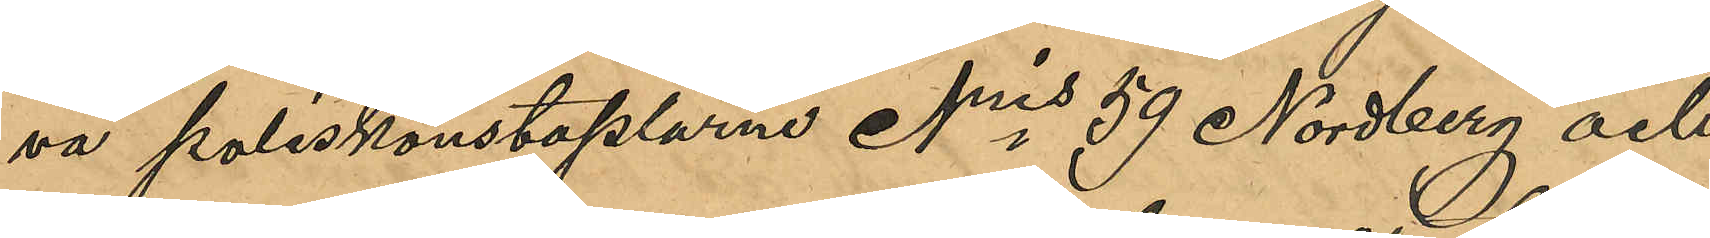va poliskonstaplarna Nris 59 Nordberg och
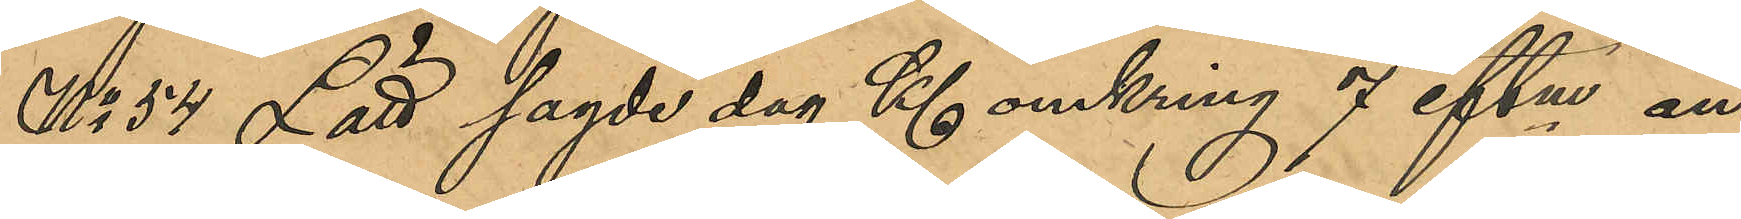No 54 Lätt sagde dag Kl omkring 7 eftm an¬
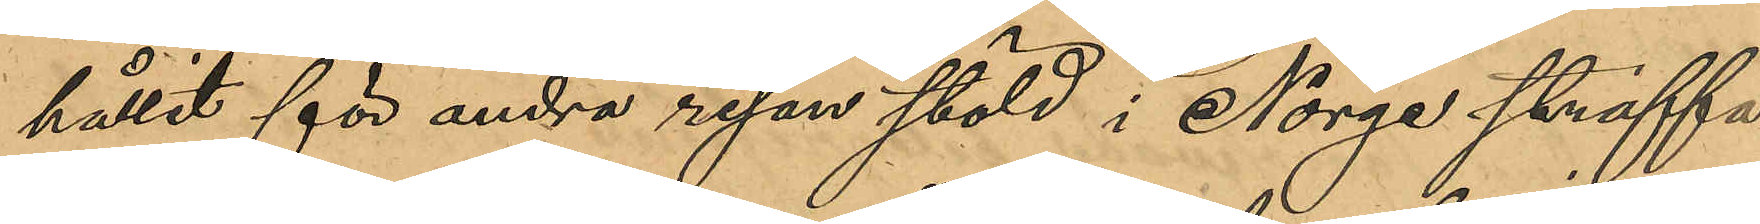hållit för andra resan stöld i Norge straffa¬
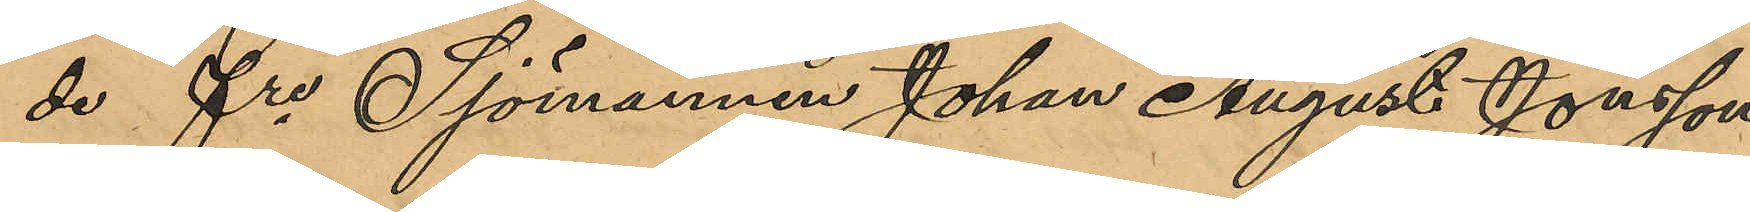de fre Sjömannen Johan August Jonsson
